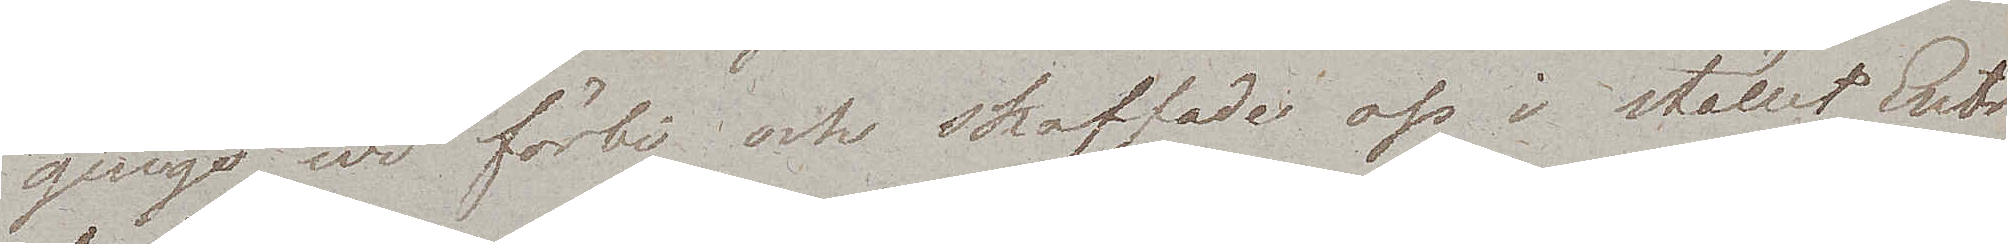gingo wi förbi och skaffade oss i stället Entré
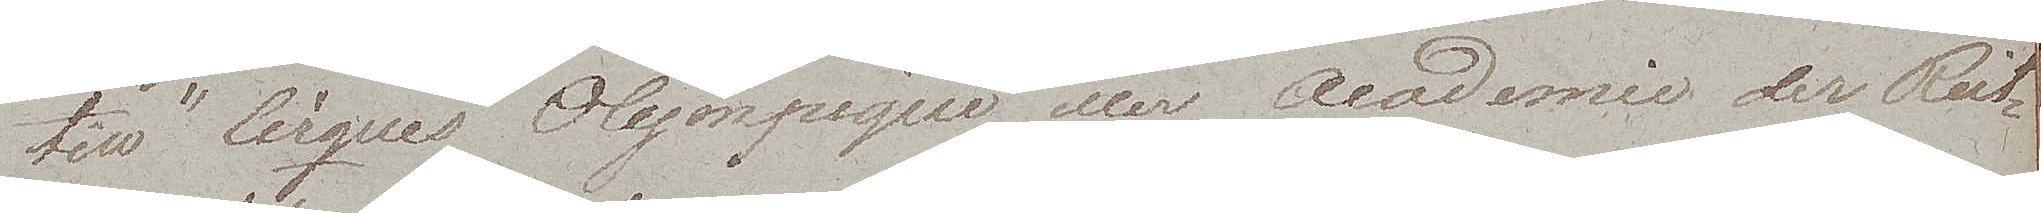till "Cirques Olympique eller Academie der Reit¬
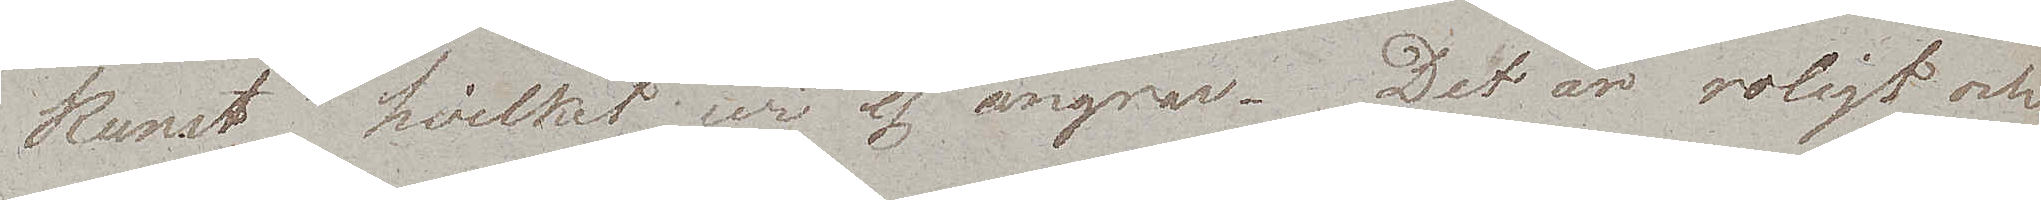kunst" hvilket wi ej ångrar. Det är roligt och
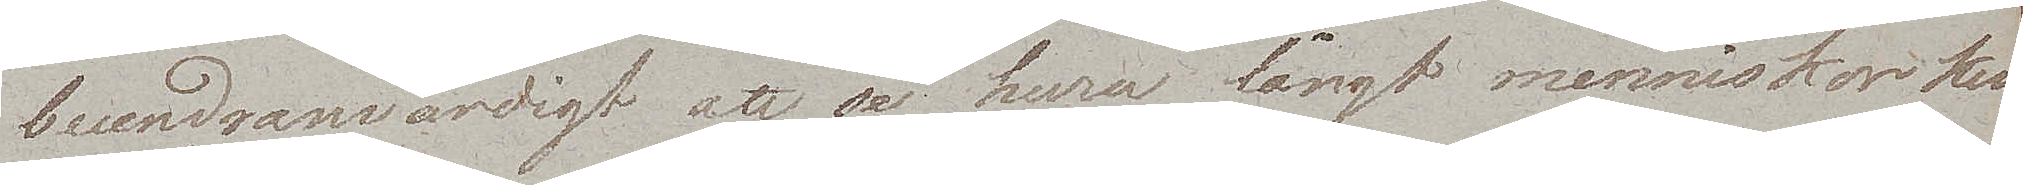beundranwärdigt att se huru långt menniskor kun¬
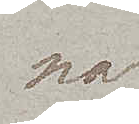na
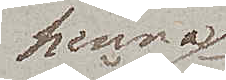komma
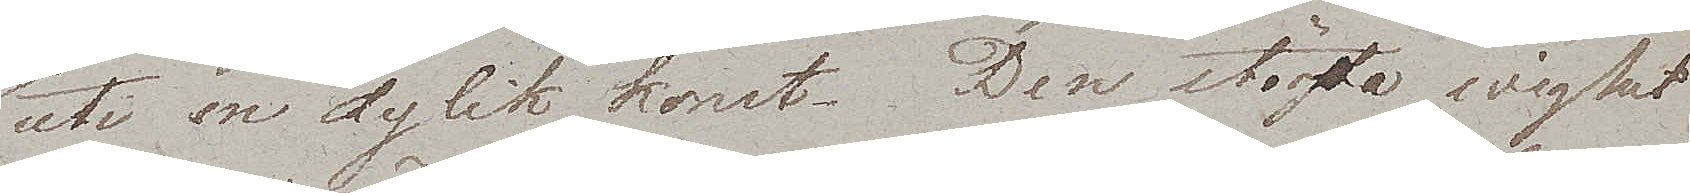uti en dylik konst. Den största wighet
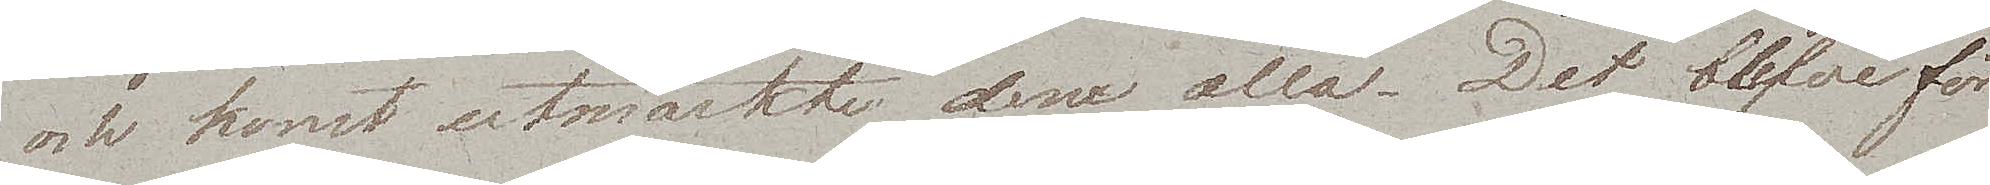och konst utmärkte dem alla. Det blefve för
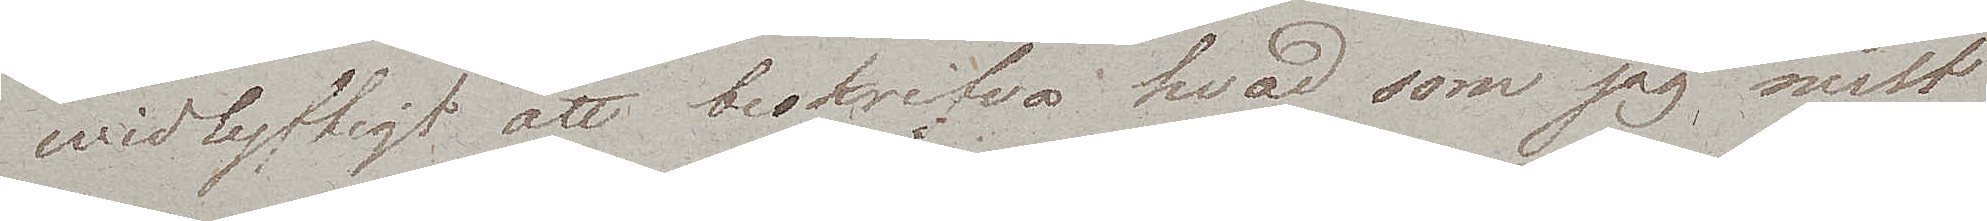widlyftigt att beskrifva hvad som jag mest
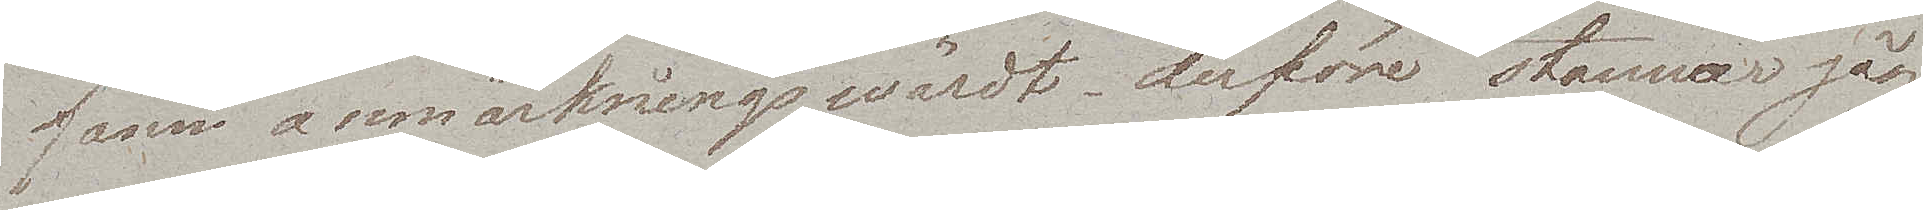fann anmärkningswärdt, derföre stannar jag
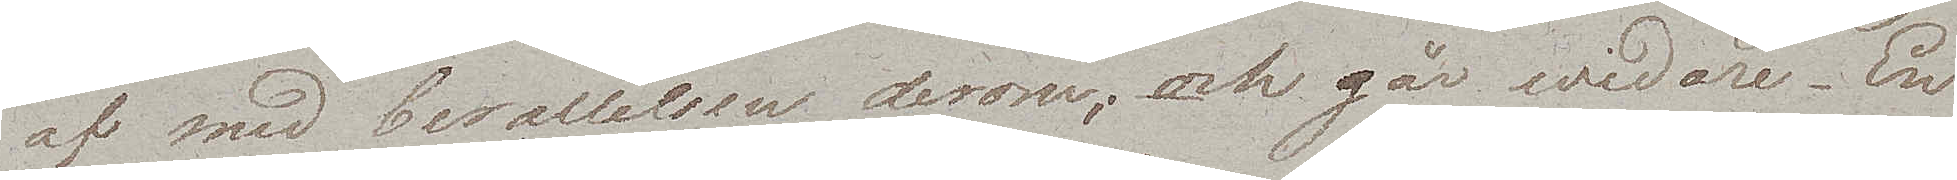af med berättelsen derom; och går widare. En
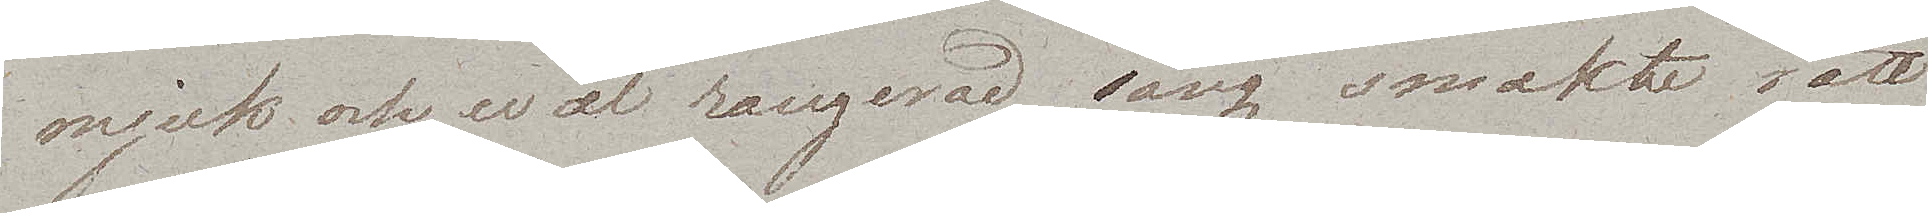mjuk och wäl rangerad säng smakte rätt
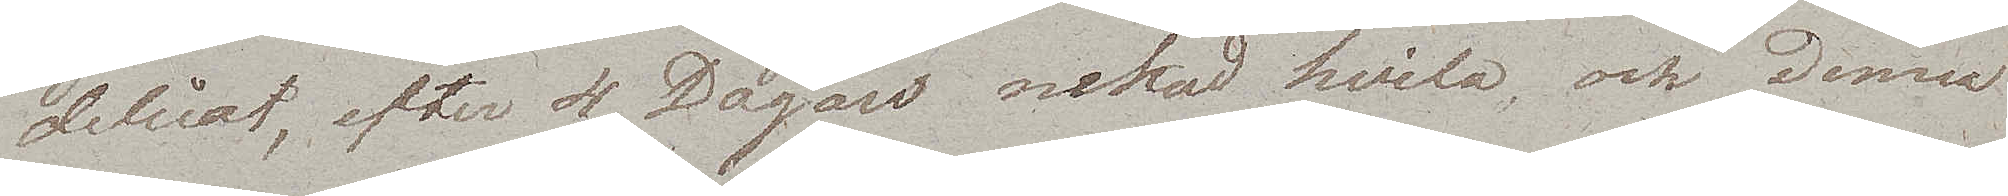delicat, efter 4 Dagars nekad hvila, och denna
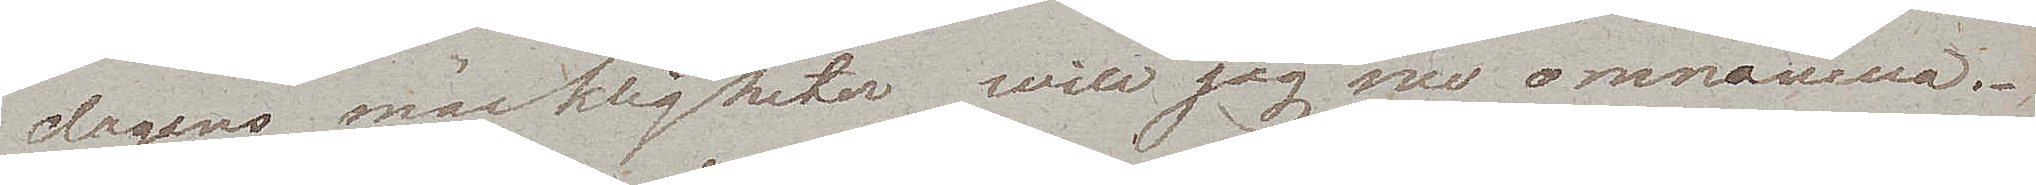dagens märkligheter will jag nu omnämna. 
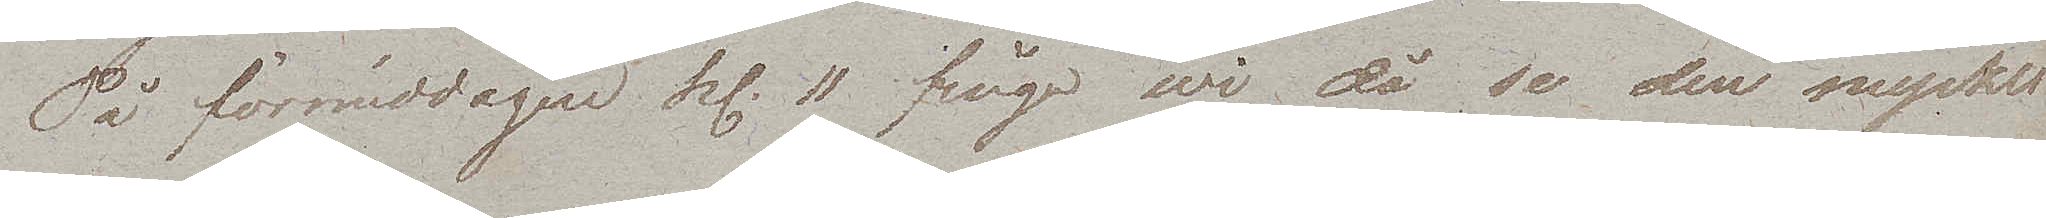På förmiddagen kl. 11 fingo wi då se den mycket
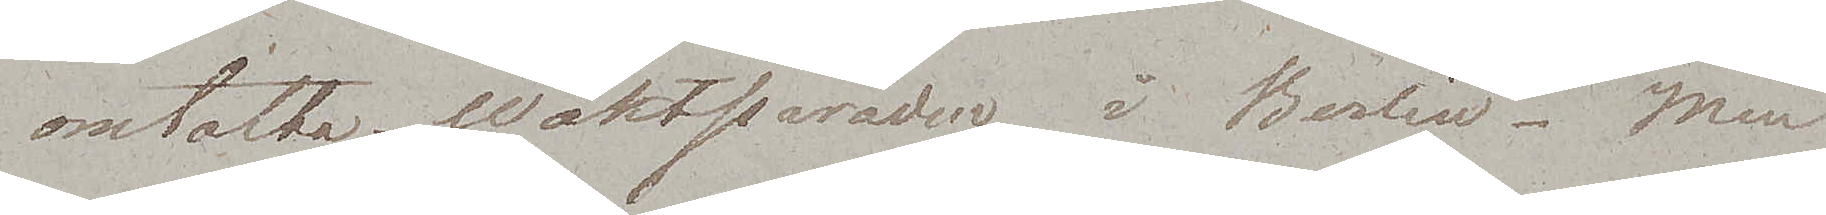omtalta Waktparaden i Berlin. Men
